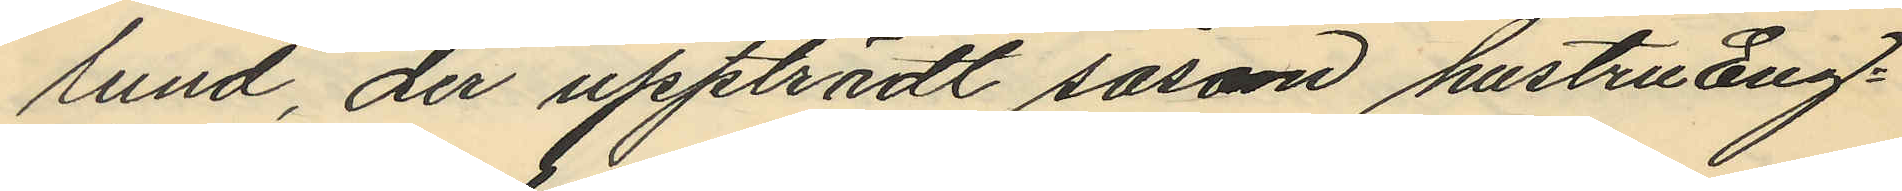lund, der uppträdt såsom hustru Eng¬
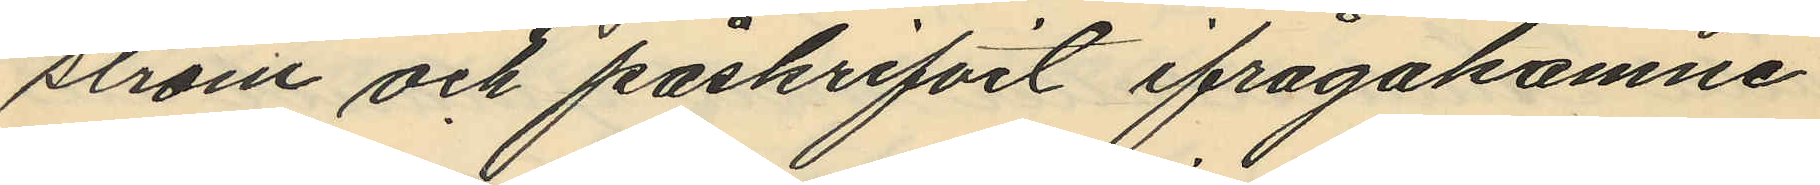ström och påskrifvit ifrågakomne
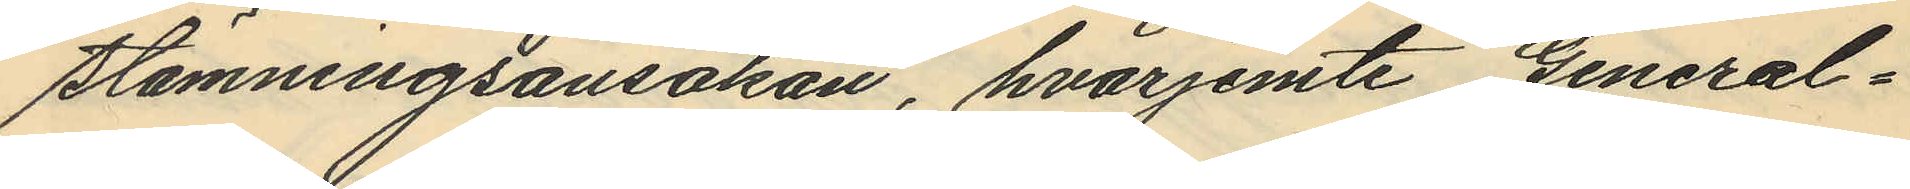stämningsansökan, hvarjemte General¬
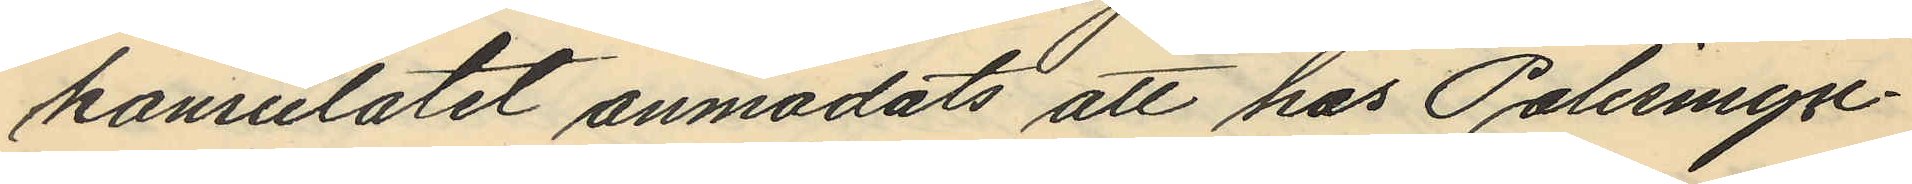konsulatet anmodats att hos Polismyn¬
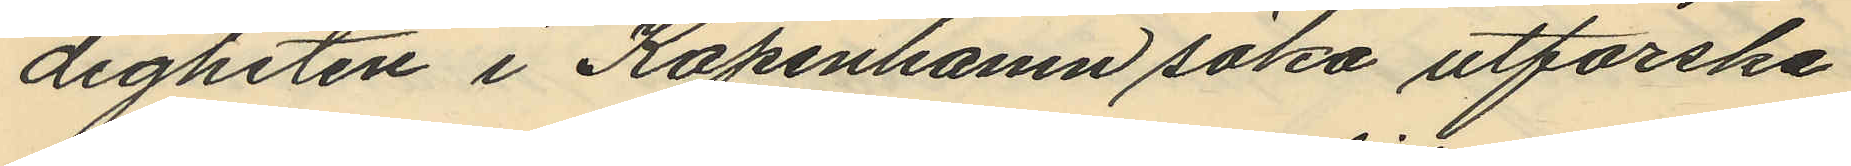digheten i Köpenhamn söka utforska
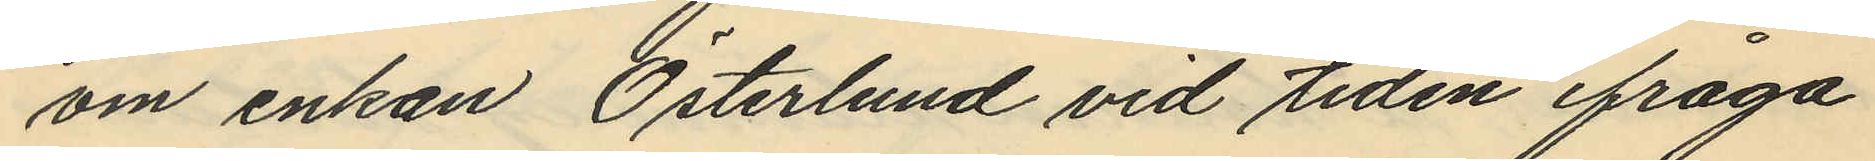om enkan Österlund vid tiden ifråga
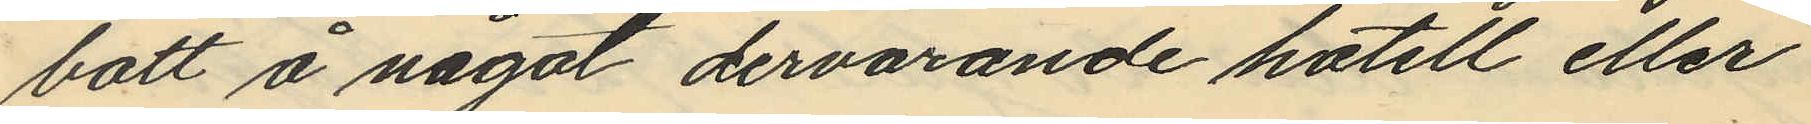bott å något dervarande hotell eller
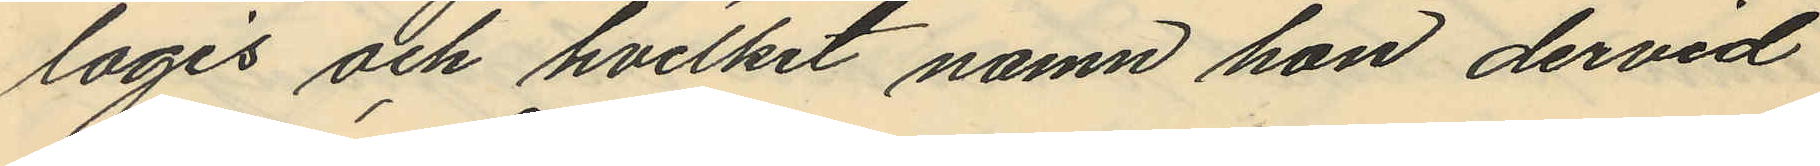logis och hvilket namn hon dervid
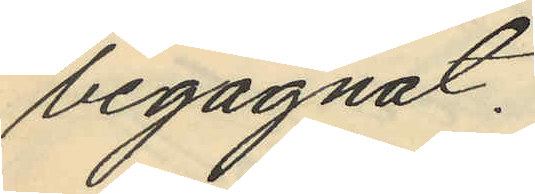begagnat.
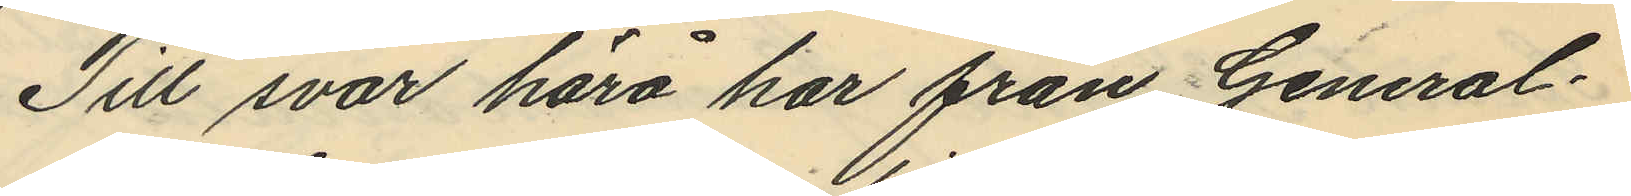Till svar härå har från General¬
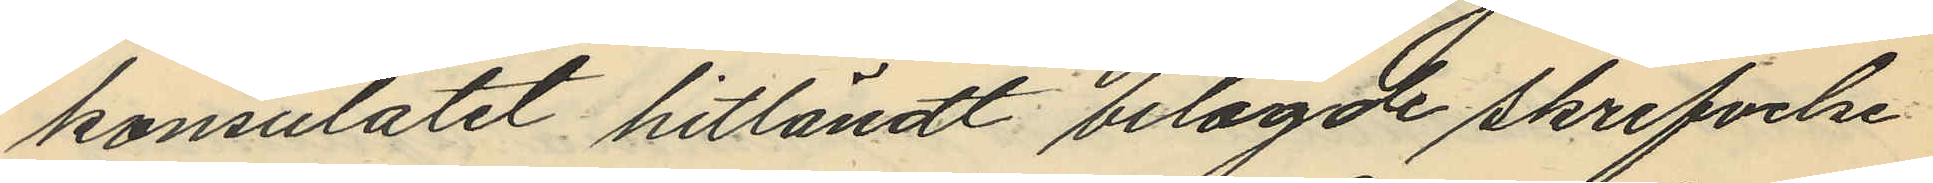konsulatet hitländt bilagde skrifvelse
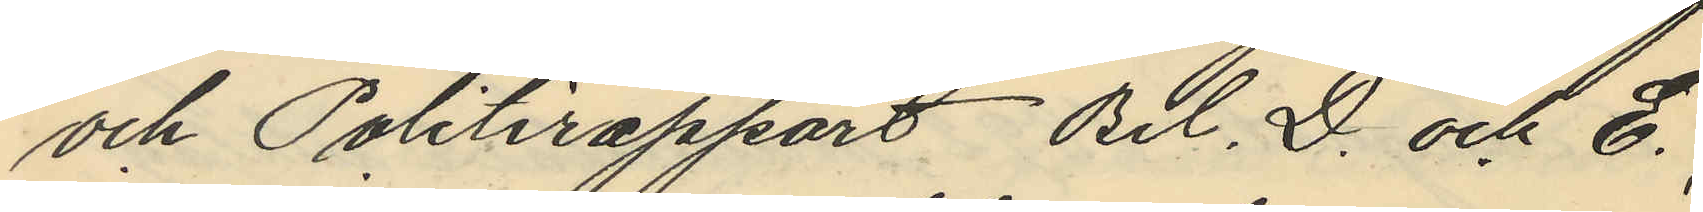och Politirapport Bil. D. och E.
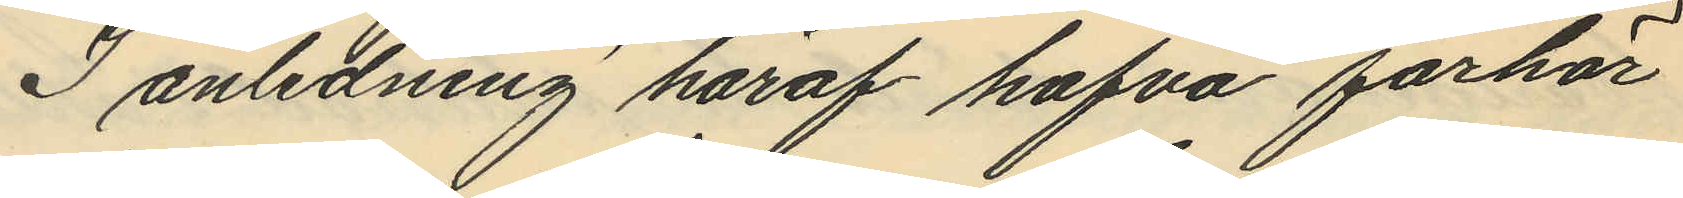I anledning häraf hafva förhör
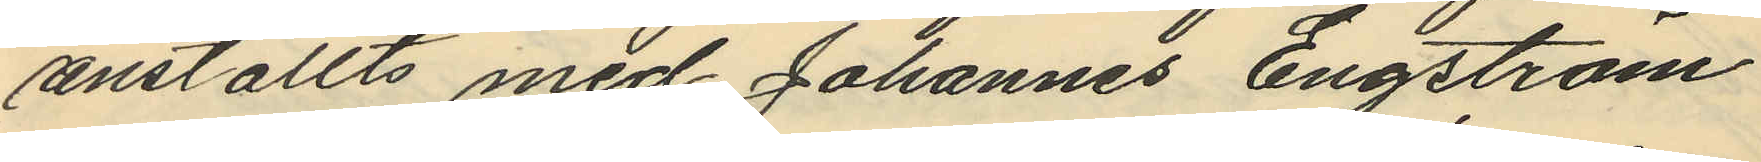anställts med Johannes Engström
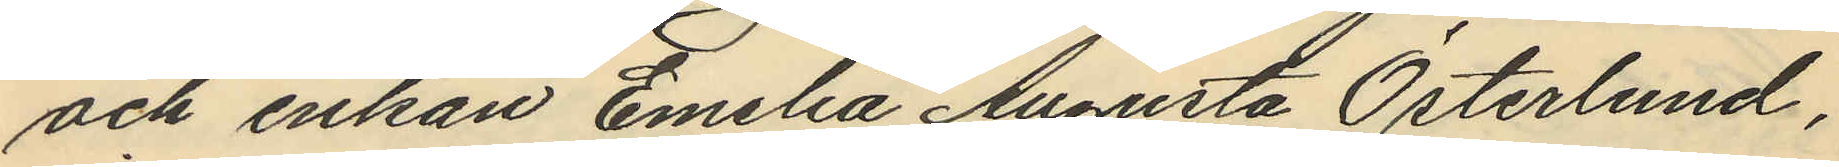och enkan Emelia Augusta Österlund,
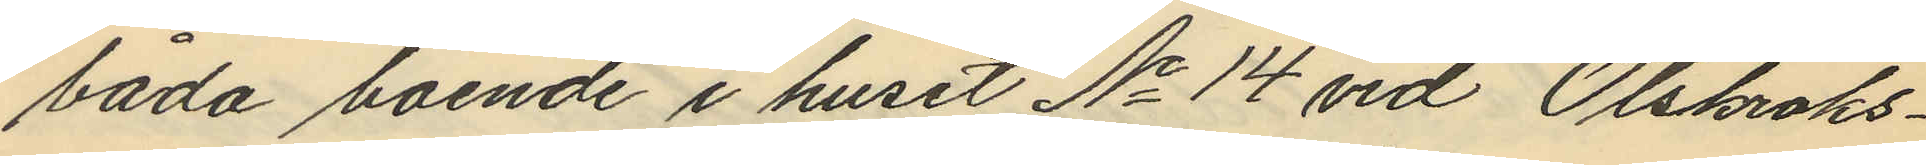båda boende i huset No 14 vid Olskroks¬
